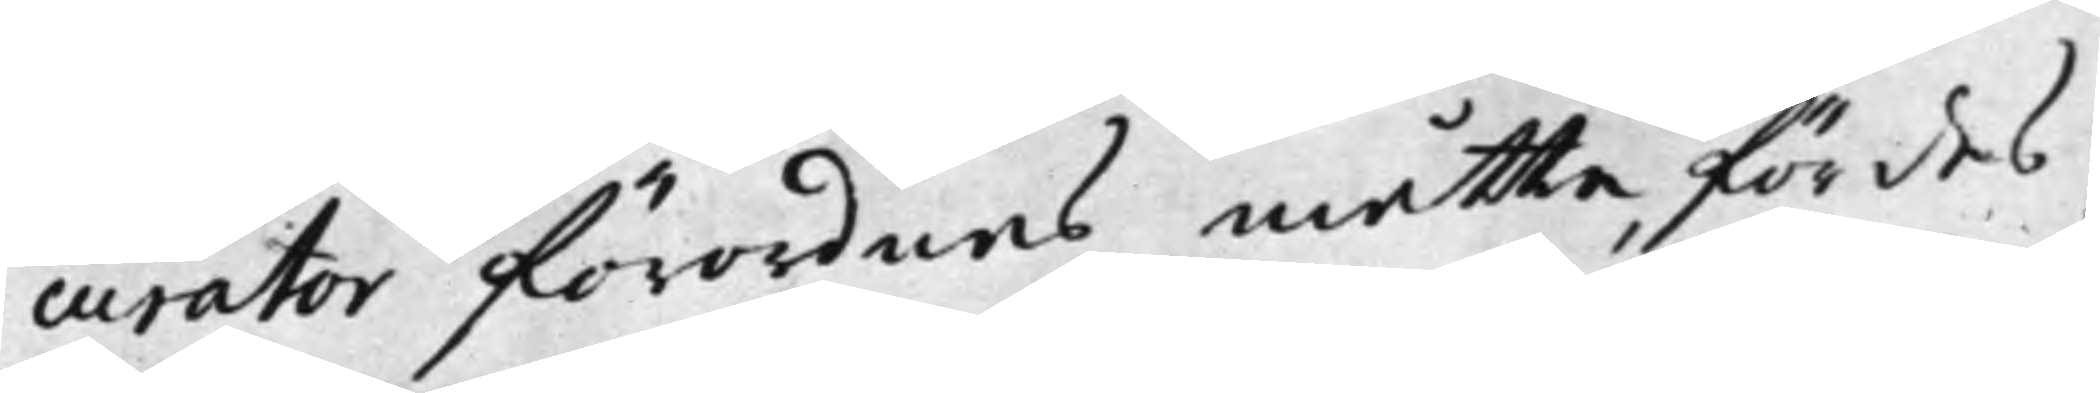curator förordnas måtte, för des
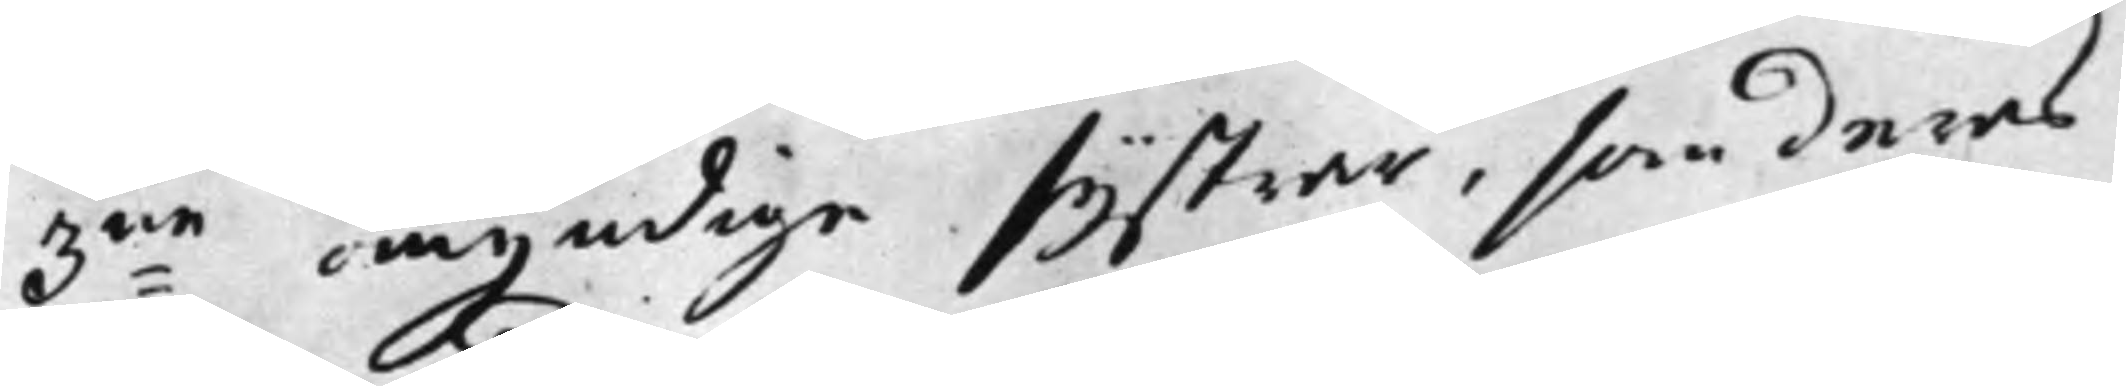3:ne omyndige systrar, som deras
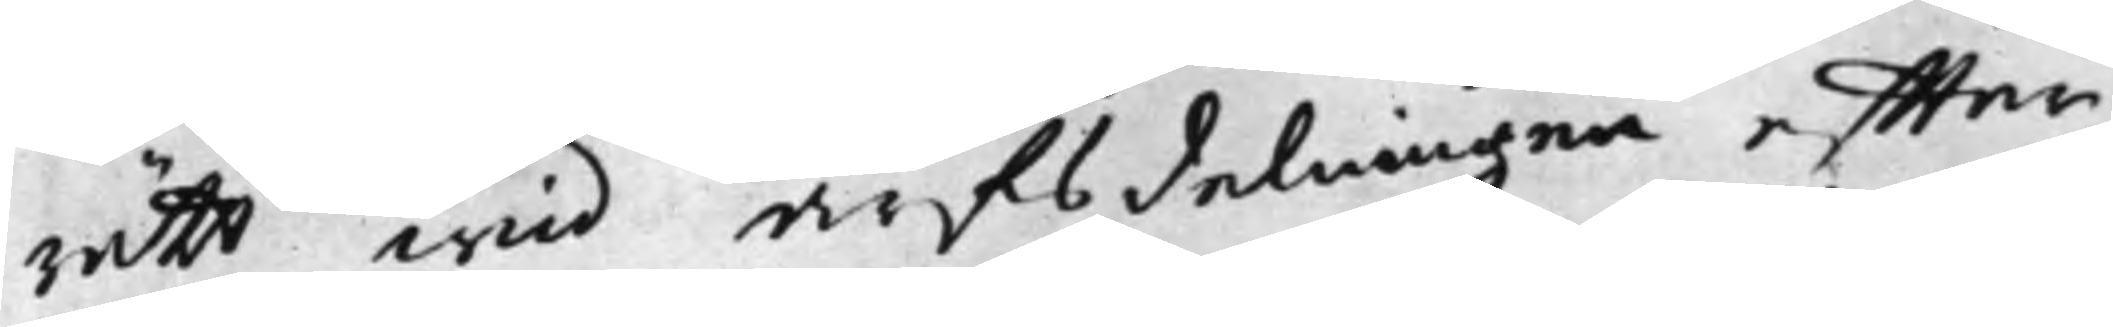rätt wid arfsdelningen effter
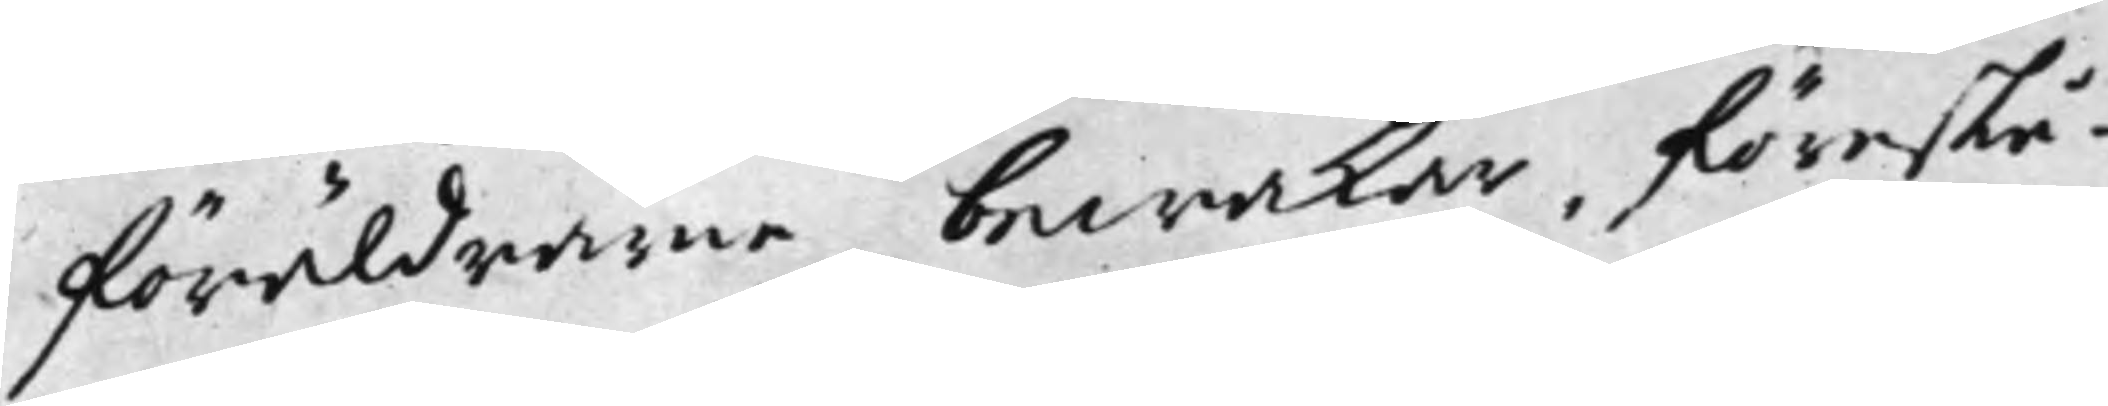föräldrarne bewakar, föreslå¬
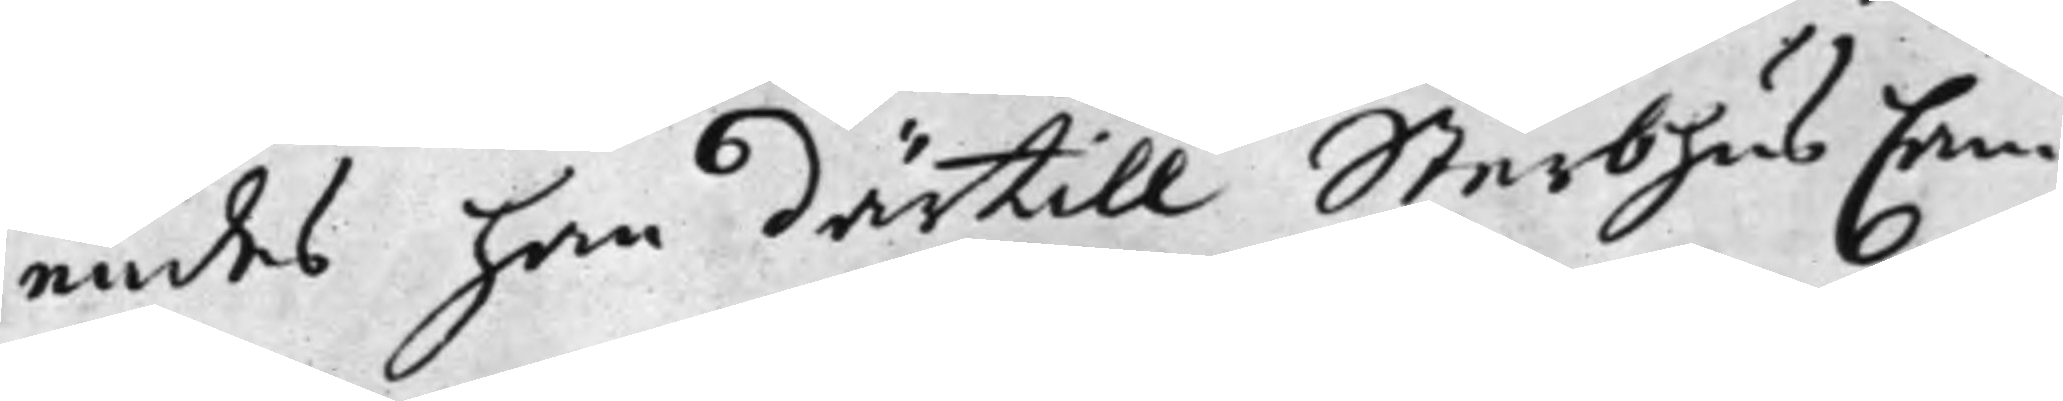endes han därtill Sterbhus Cam¬
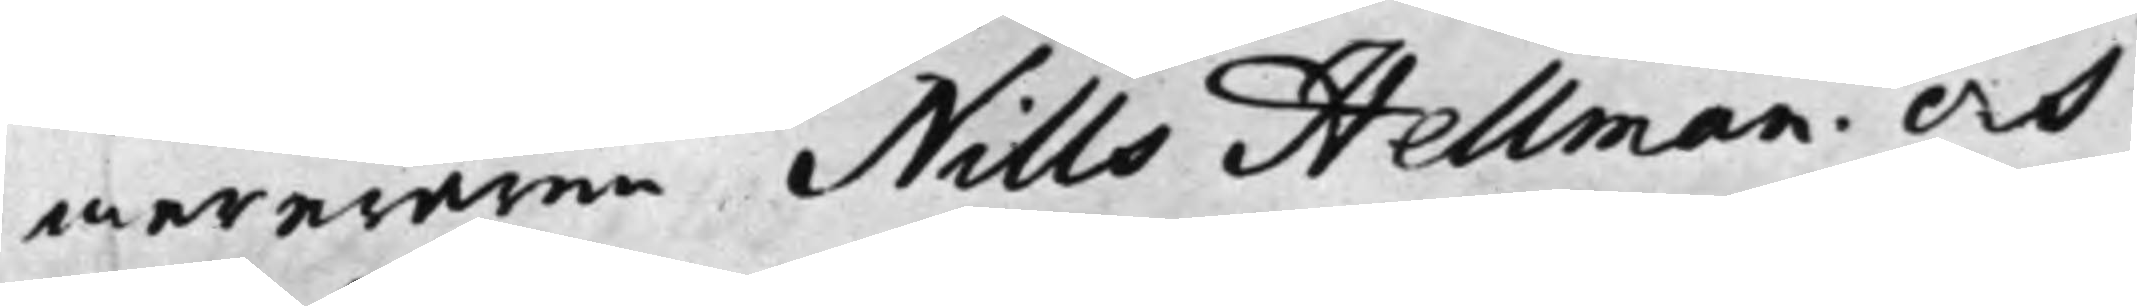mereraren Nills Hellman. Och
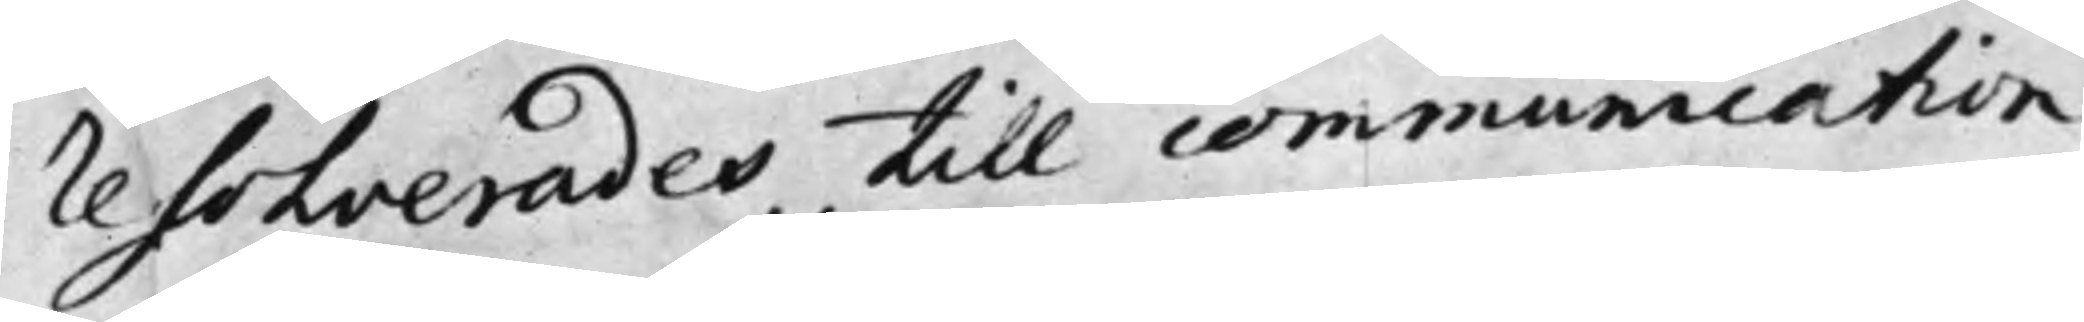resolverades, till communication
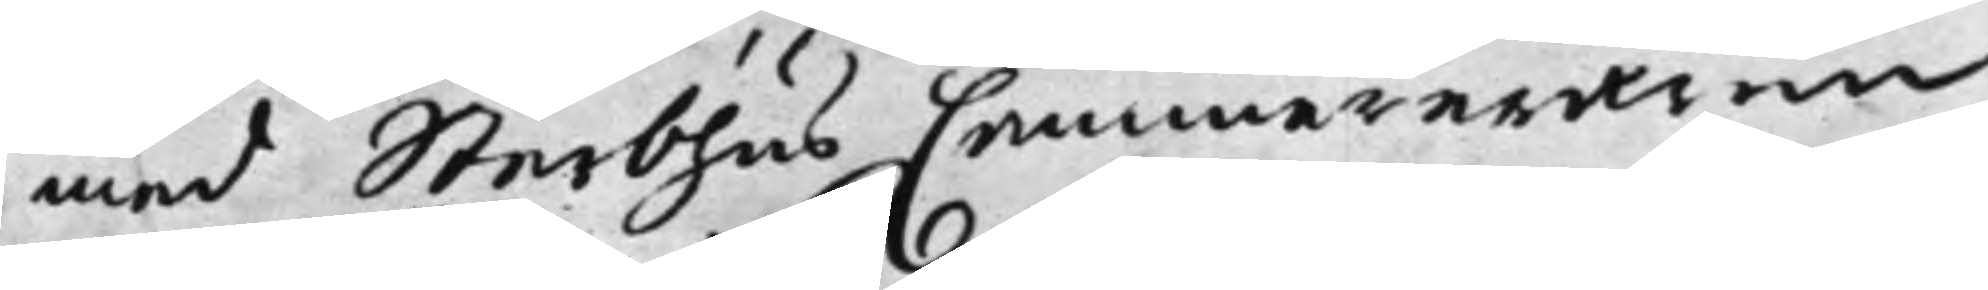med Sterbhus Cammereraren
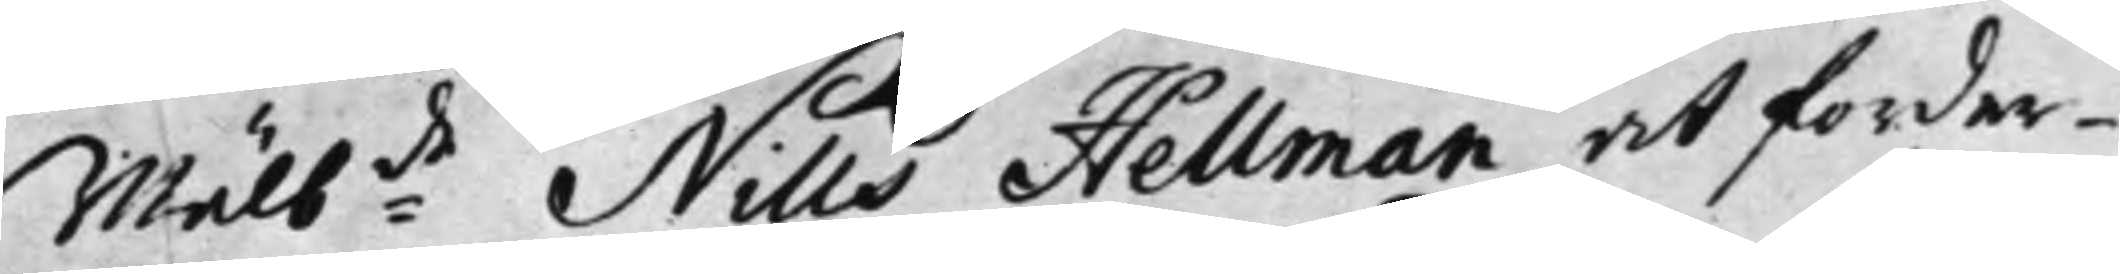Wälb:de Nills Hellman, at forder¬
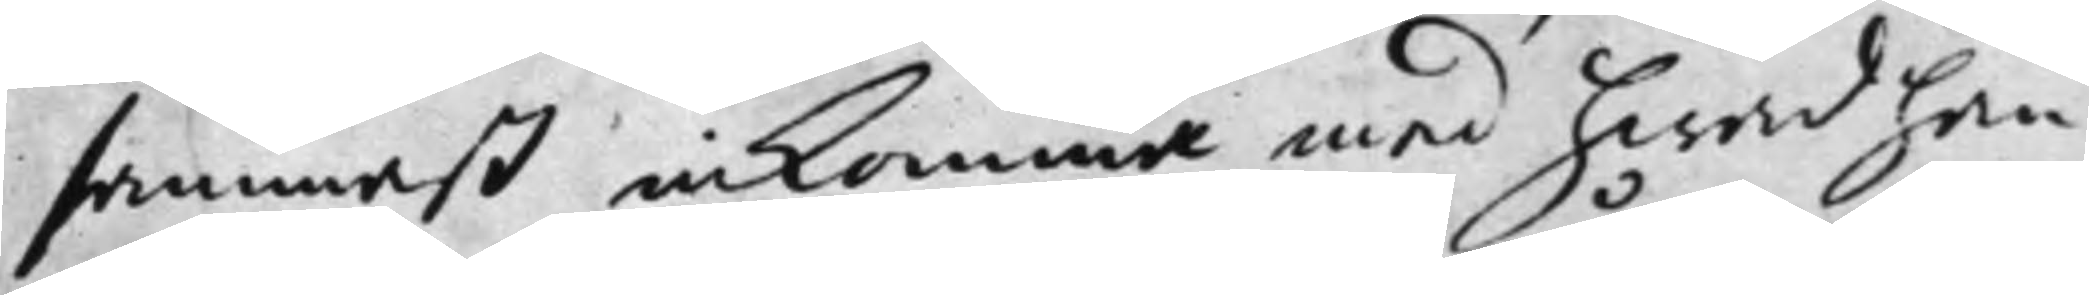sammast inkomma med hwad han
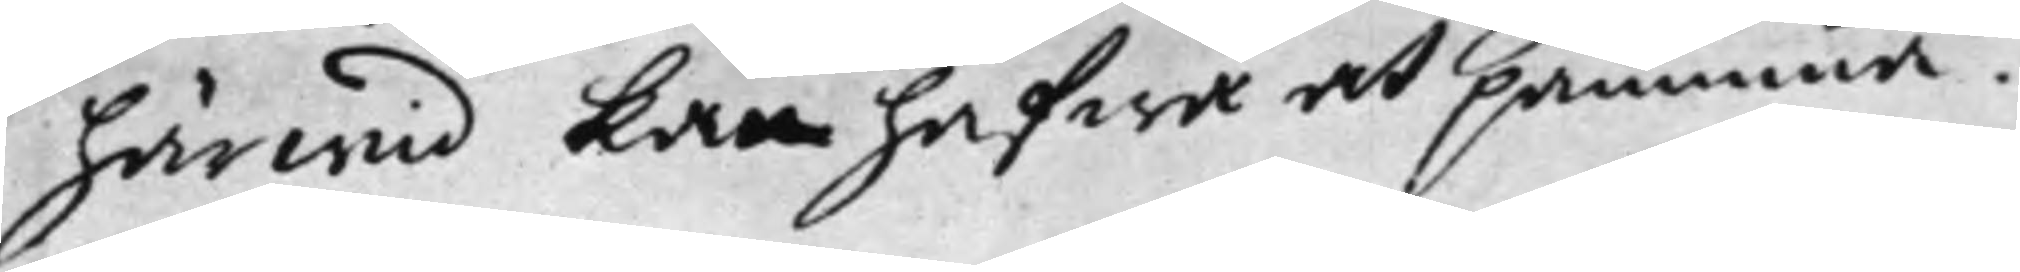härwid kan hafwa att påminna.
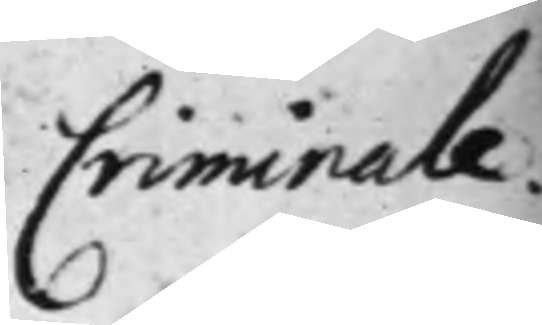Criminale.
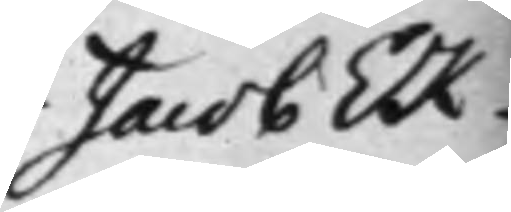Jacob Ek-
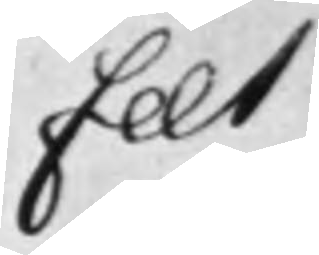felt
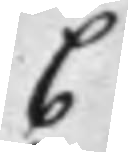C
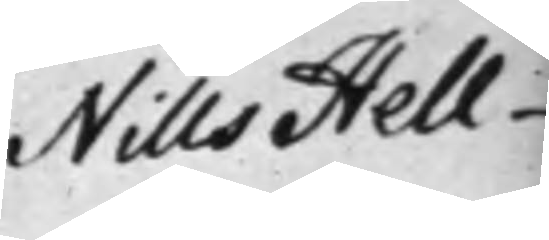Nills Hell¬
